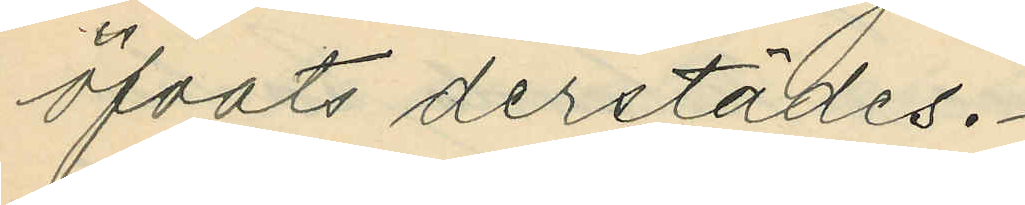öfvats derstädes.
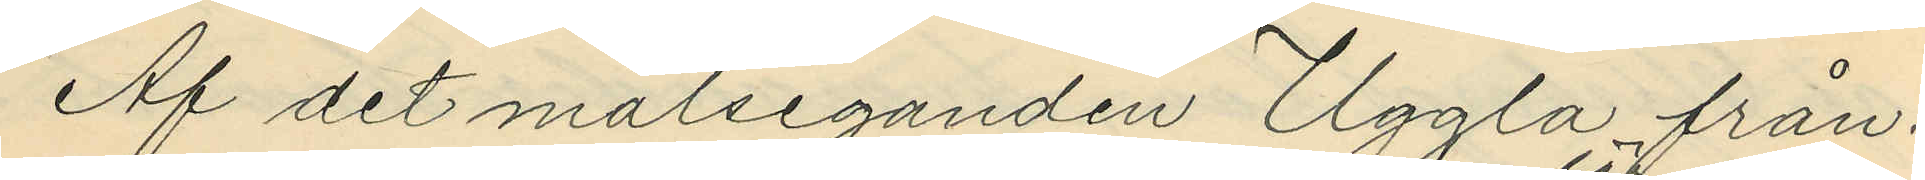Af det målseganden Uggla från¬
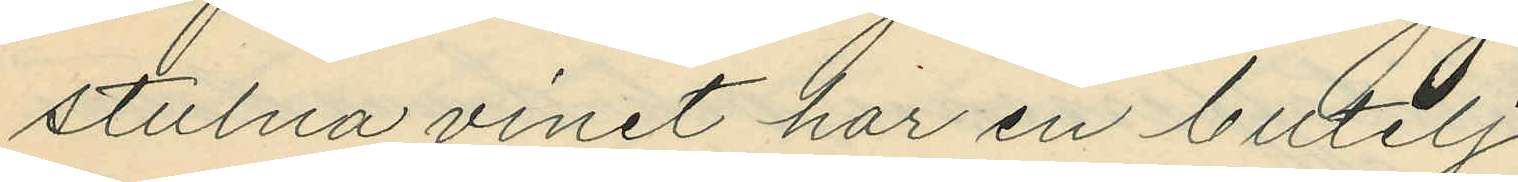stulna vinet har en butelj
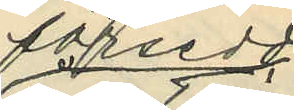försedd
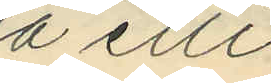å etti¬
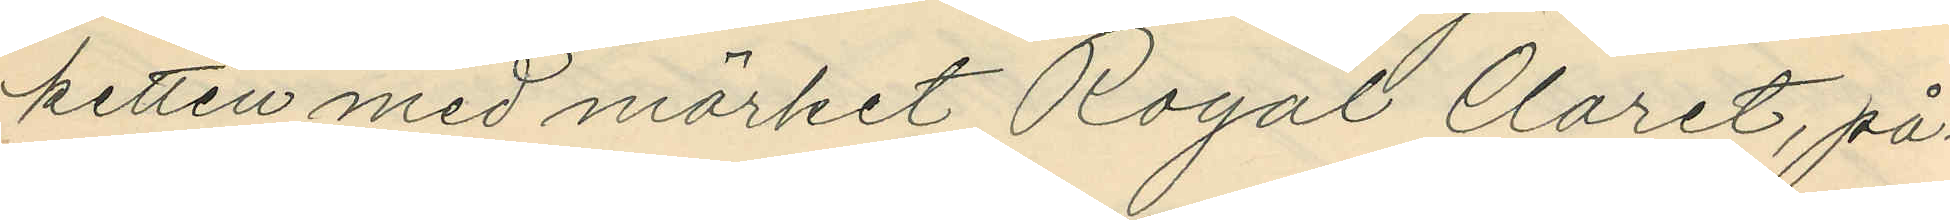ketten med märket Royal Claret, på¬
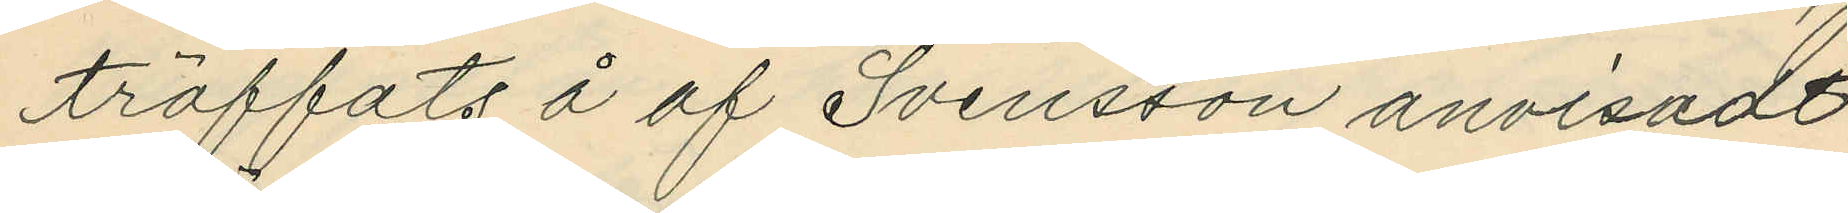träffats å af Svensson anvisadt
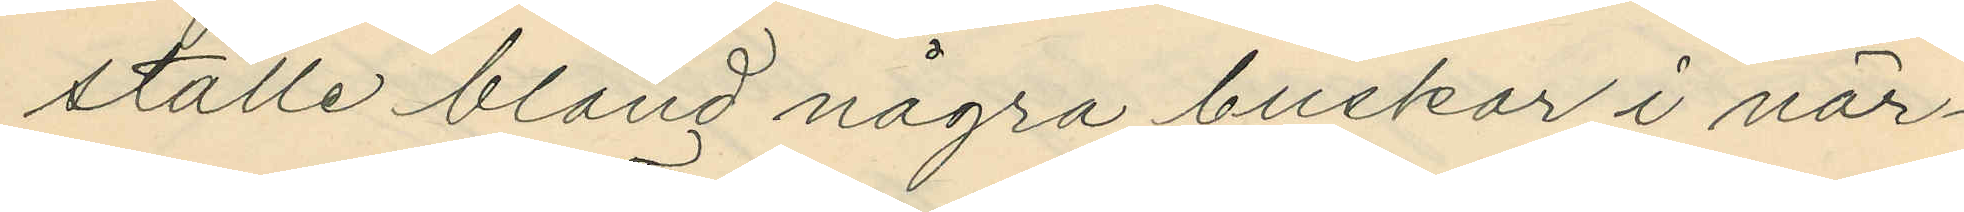ställe bland några buskar i när¬
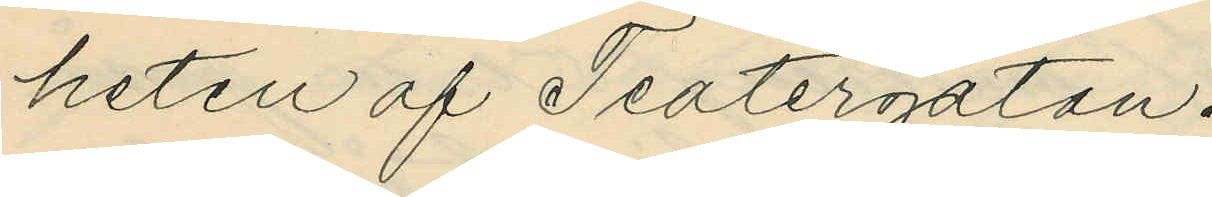heten af Teatergatan.
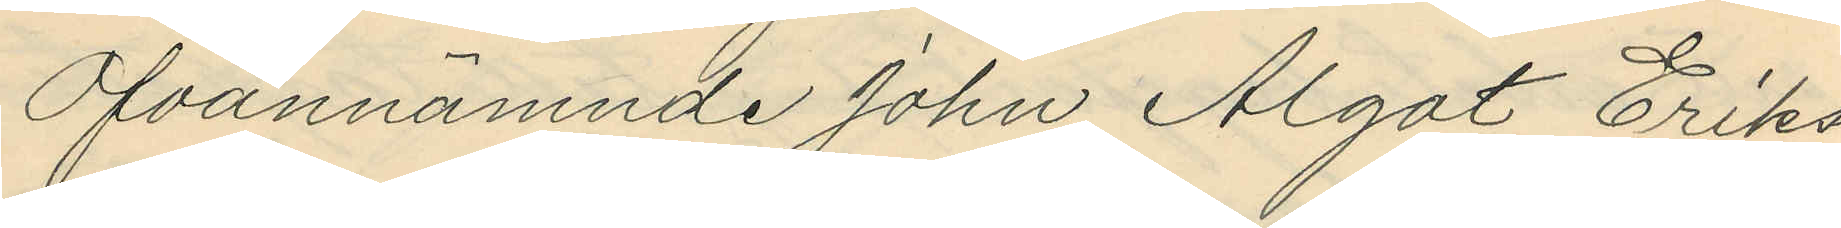Ofvannämnde John Algot Eriks¬
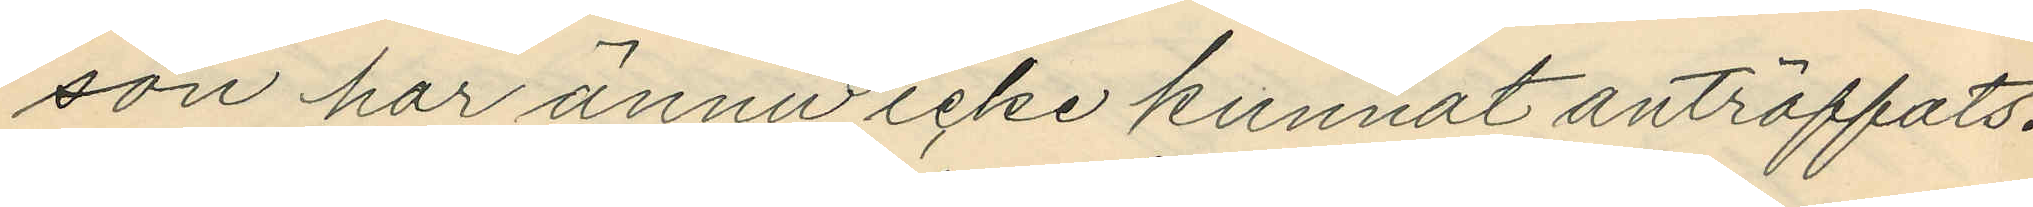son har ännu icke kunnat anträffats.
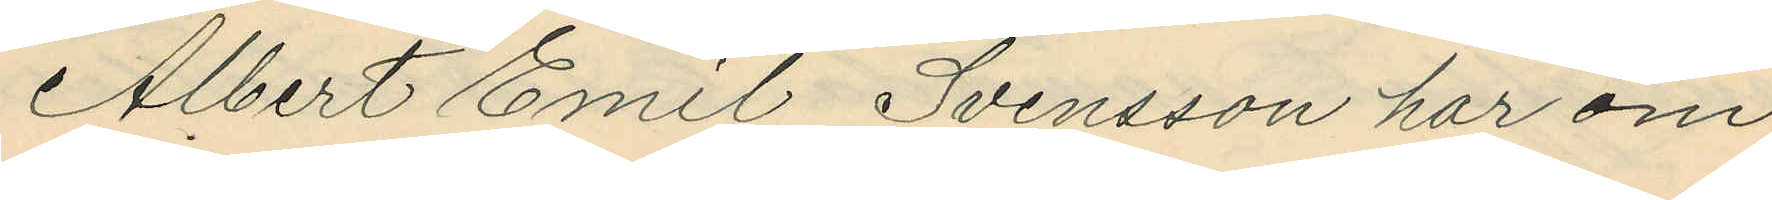Albert Emil Svensson har om
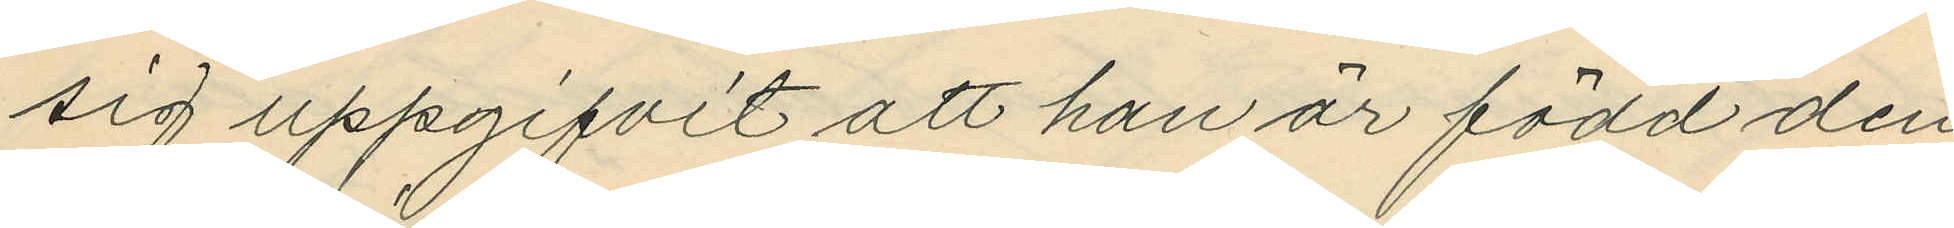sig uppgifvit att han är född den
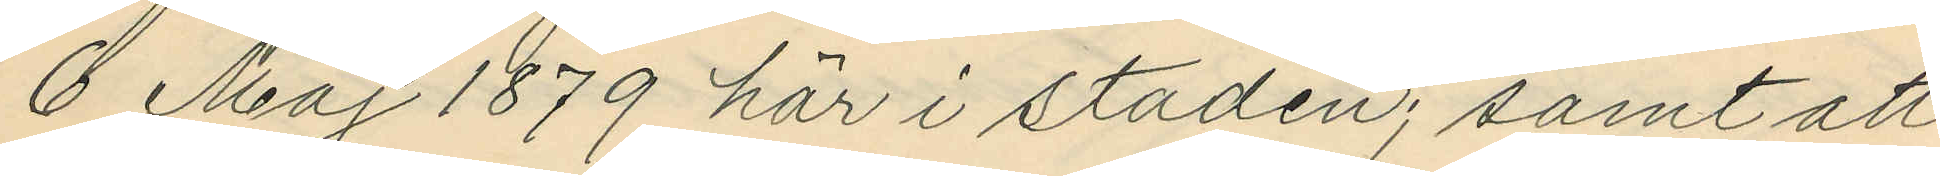6 Maj 1879 här i staden; samt att
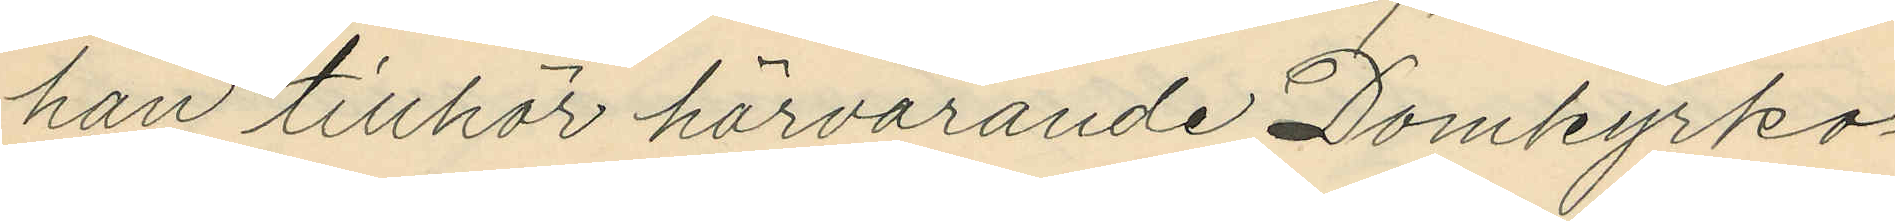han tillhör härvarande Domkyrko¬
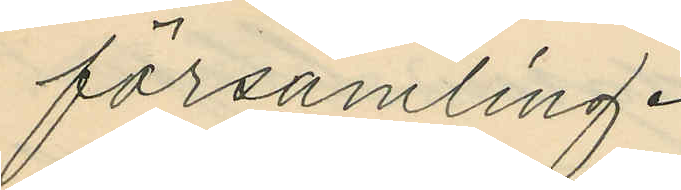församling.
